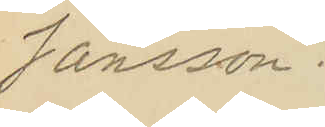Jansson.
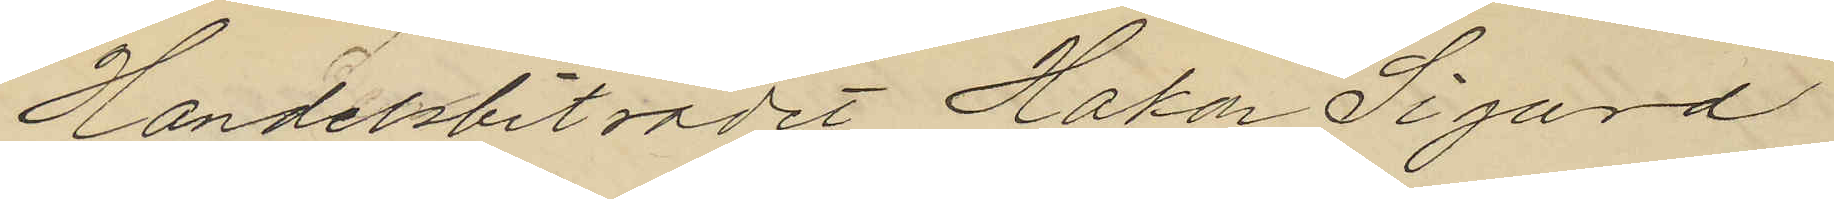Handelsbiträdet Hakon Sigurd
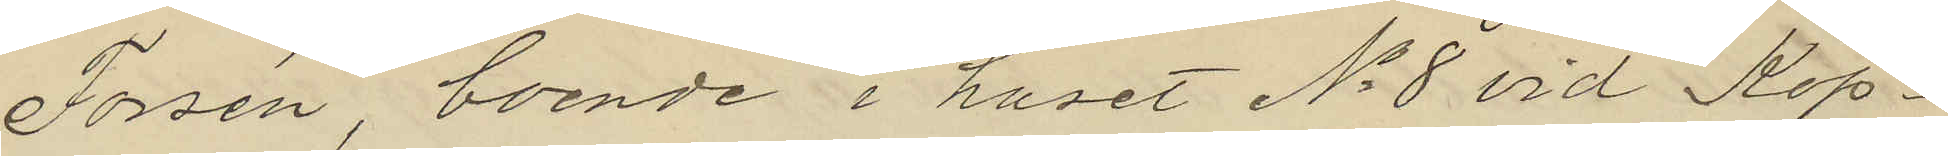Forsén, boende i huset No 8 vid Köp¬
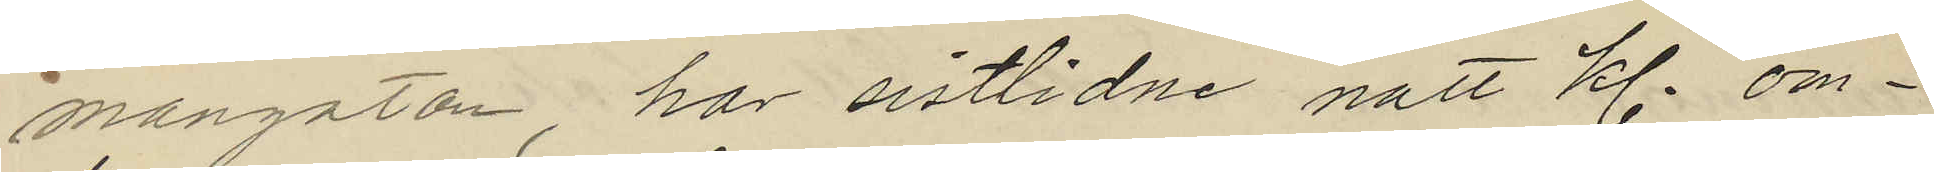mangatan har sistlidne natt kl. om¬
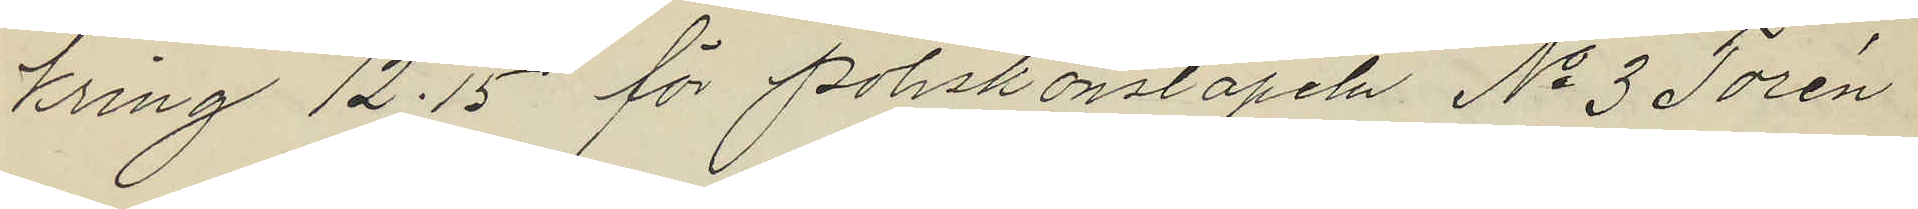kring 12.15 för Poliskonstapeln No 3 Torén
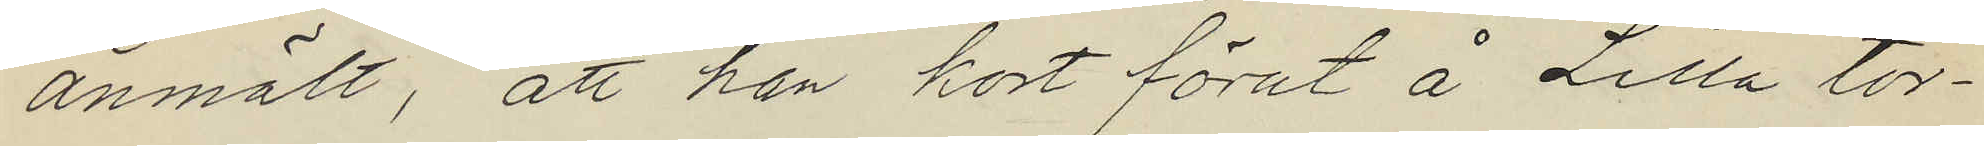anmält, att han kort förut å Lilla tor¬
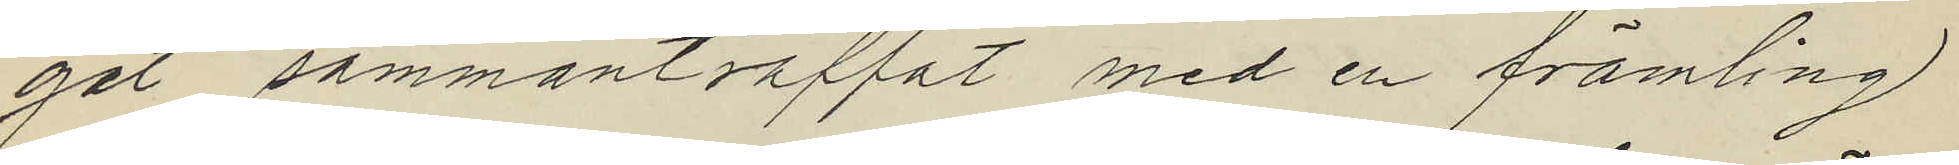get sammanträffat med en främling
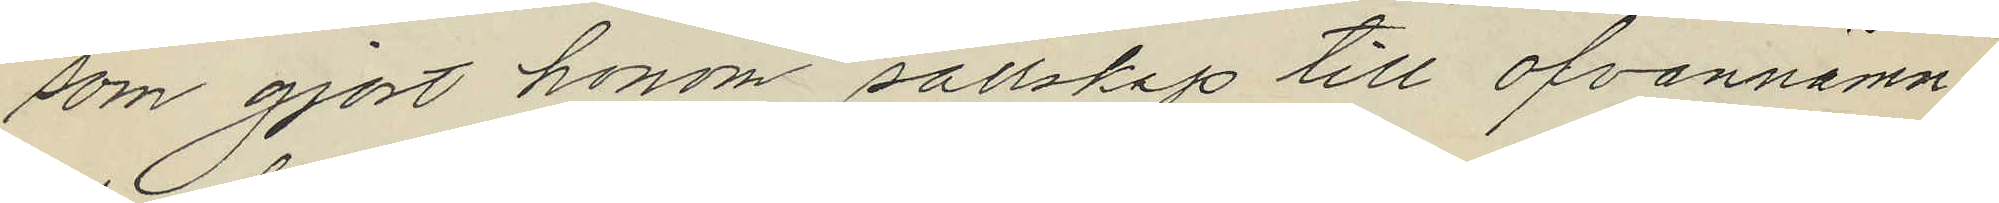som gjort honom sällskap till ofvannämn¬
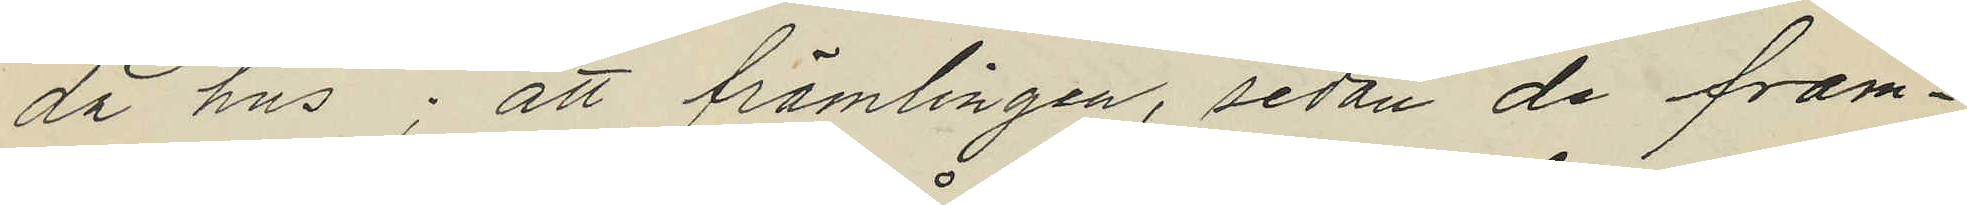da hus; att främlingen, sedan de fram¬
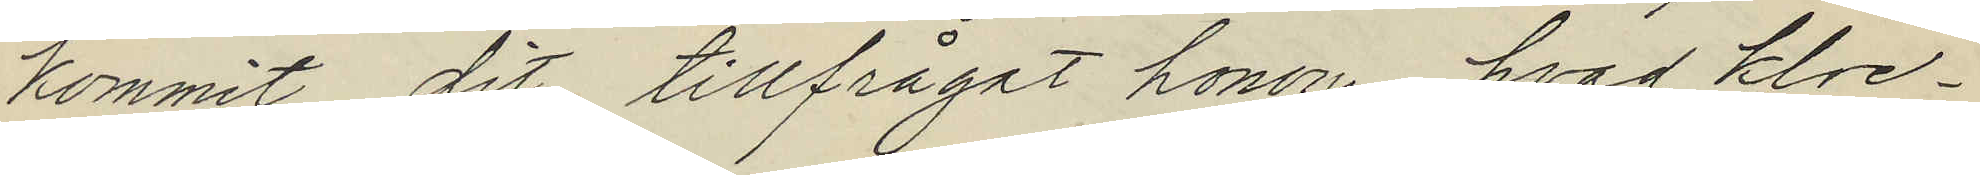kommit dit, tillfrågat honom, hvad kloc¬
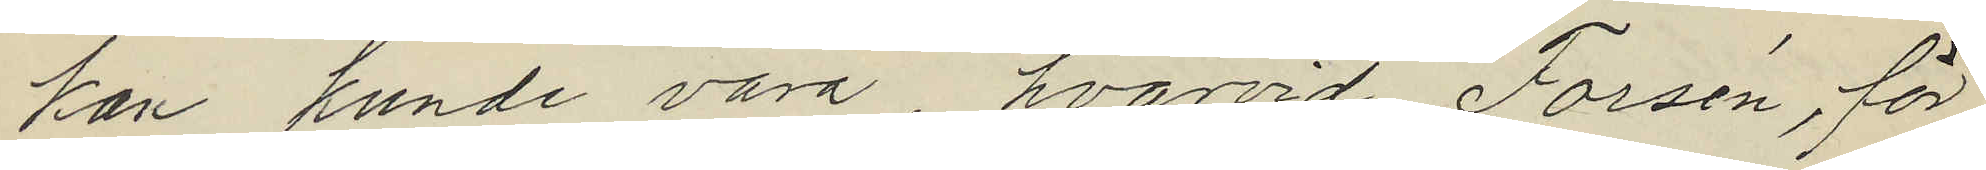han kunde vara, hvarvid Forsén, för
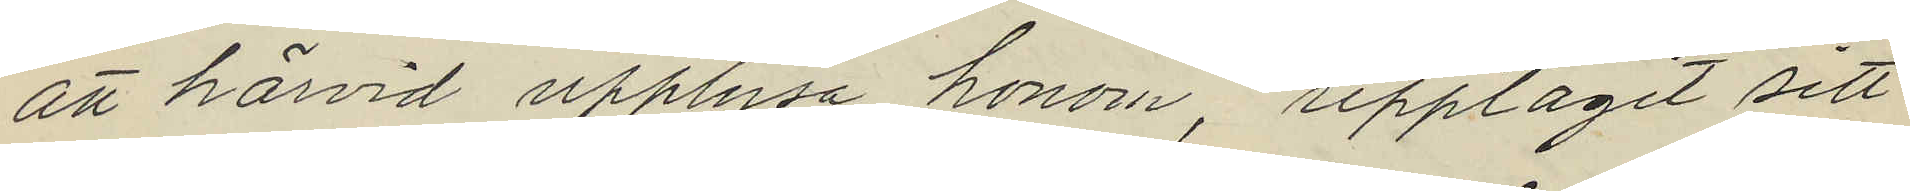att härvid upplysa honom, upptagit sitt
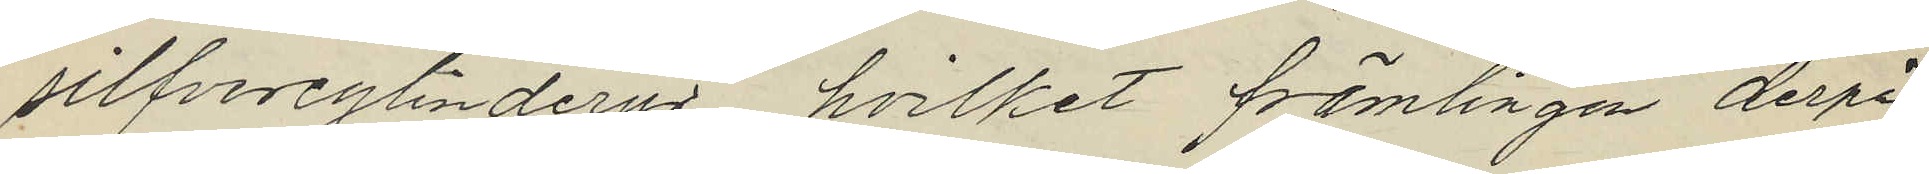silfvercylinderur, hvilket främlingen derpå
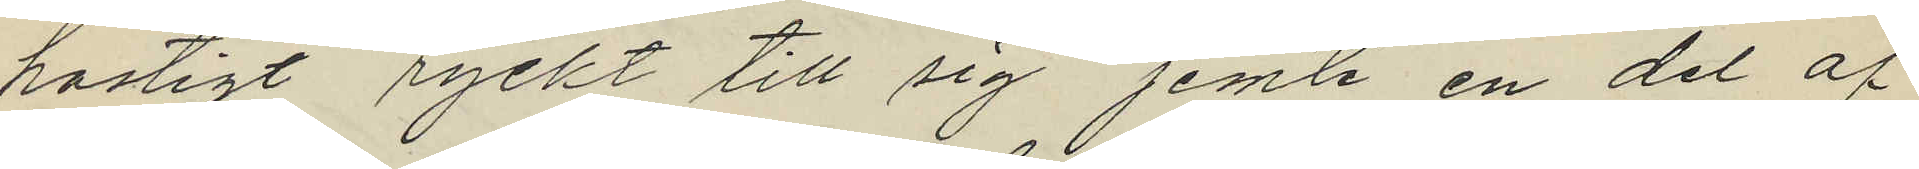hastigt ryckt till sig jemte en del af
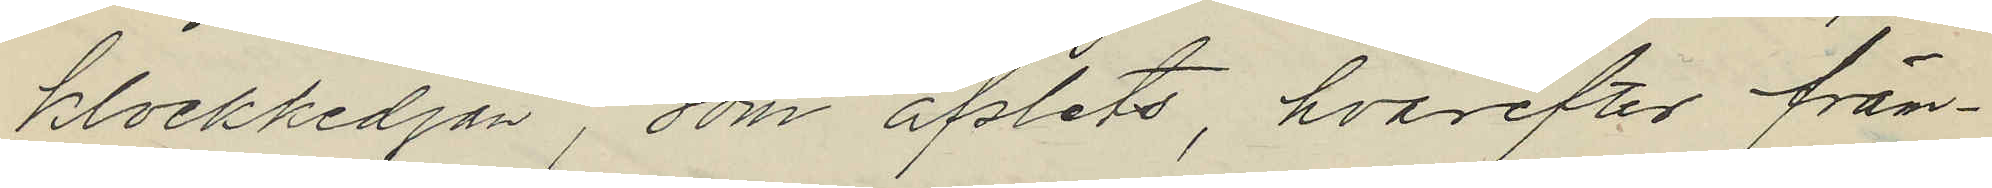klockkedjan, som afslets, hvarefter främ¬
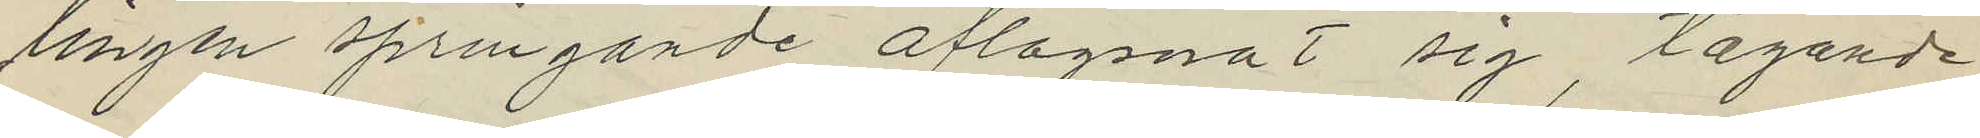lingen springande aflägsnat sig, tagande
